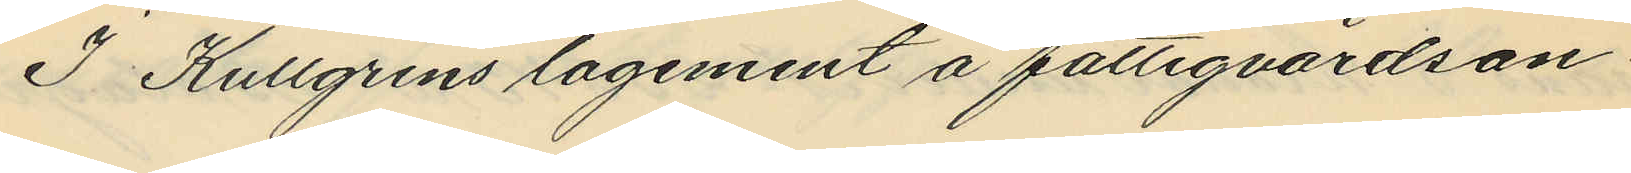I Kullgrens logement å fattigvårdsan¬
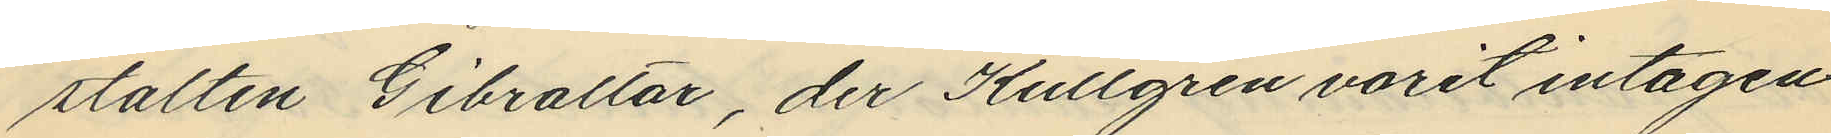stalten Gibraltar, der Kullgren varit intagen
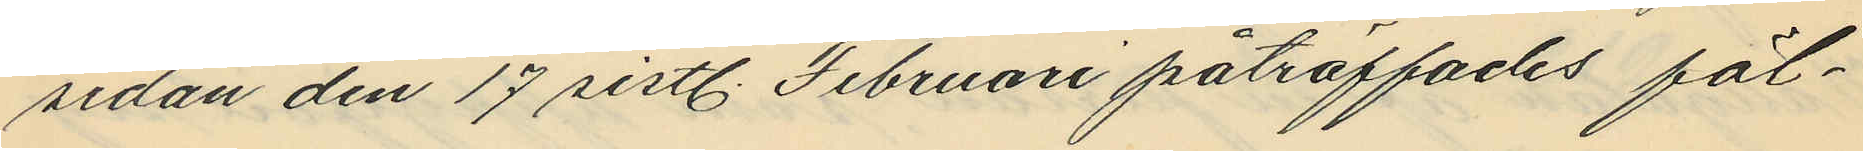sedan den 17 sistl. Februari påträffades föl¬
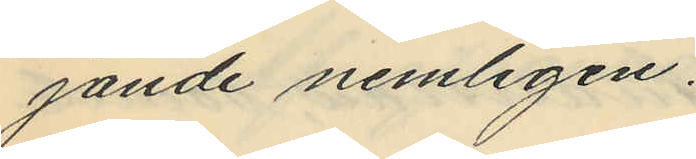jande nemligen:
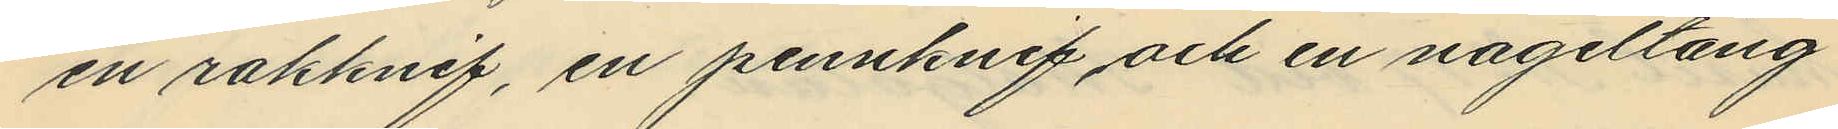en rakknif, en pennknif och en nageltång
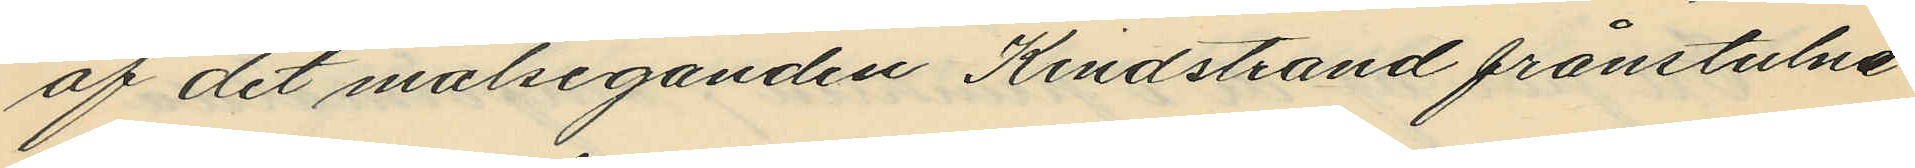af det målseganden Kindstrand frånstulne
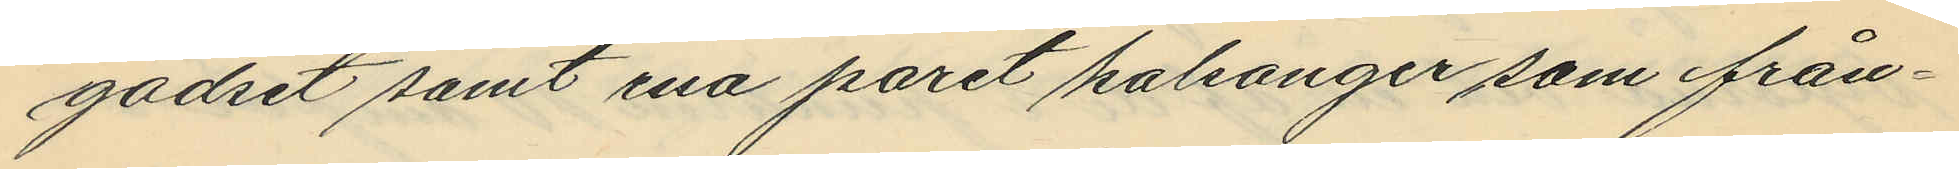godset samt ena paret kalsonger som från¬
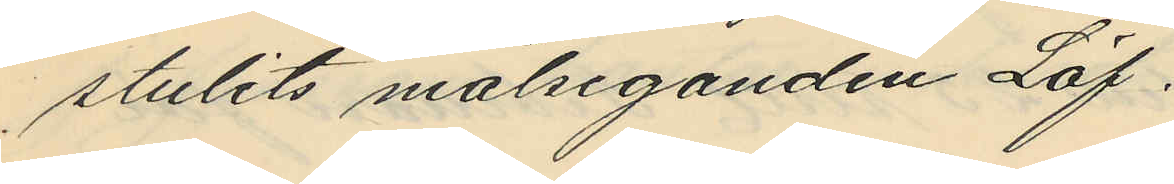stulits målseganden Löf.
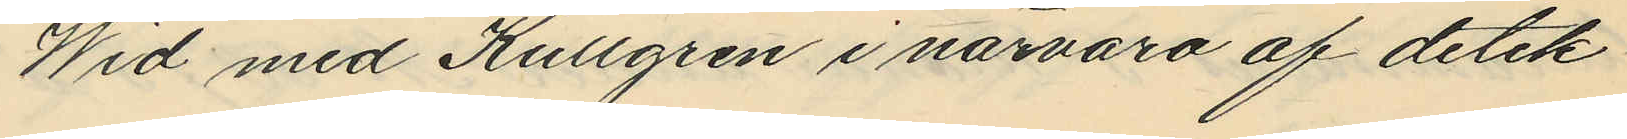Wid med Kullgren i närvaro af detek¬
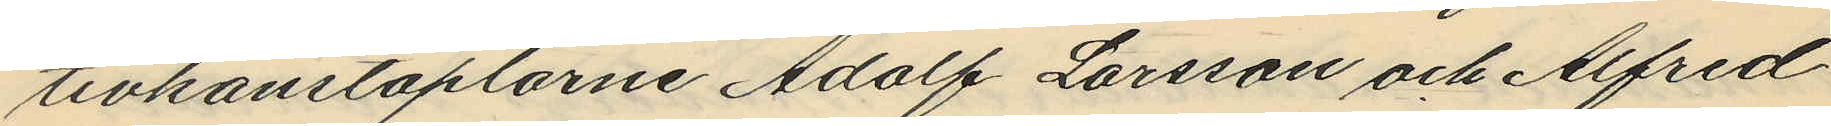tivkonstaplarne Adolf Larsson och Alfred
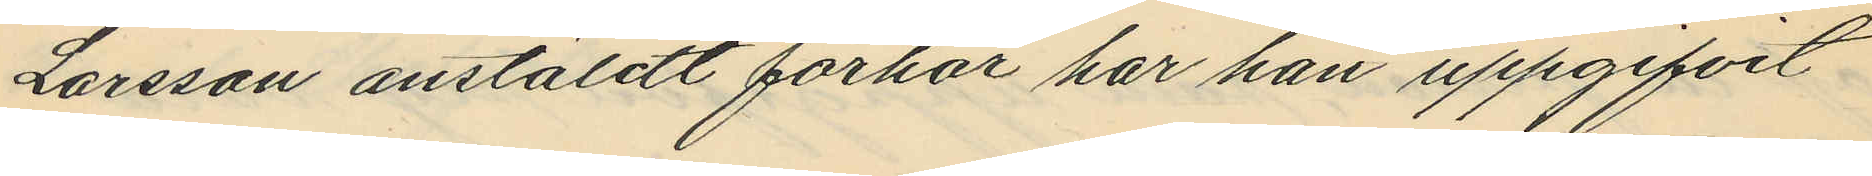Larsson anstäldt förhör har han uppgifvit
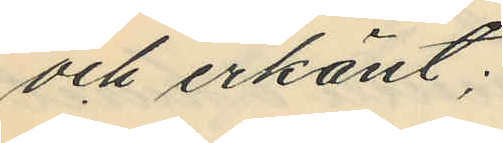och erkänt;
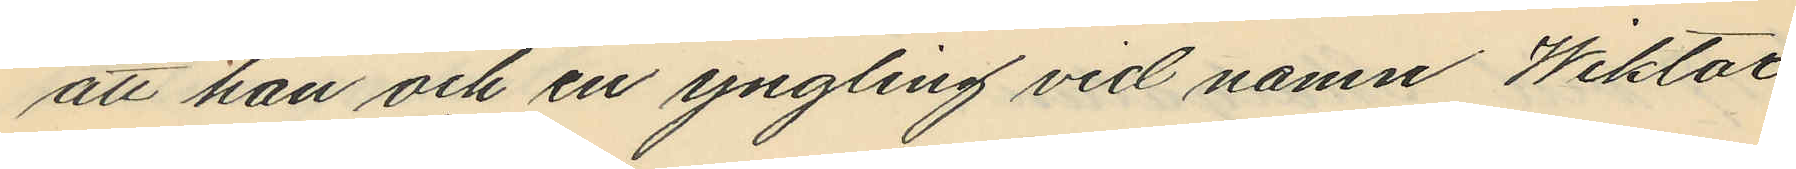att han och en yngling vid namn Wiktor
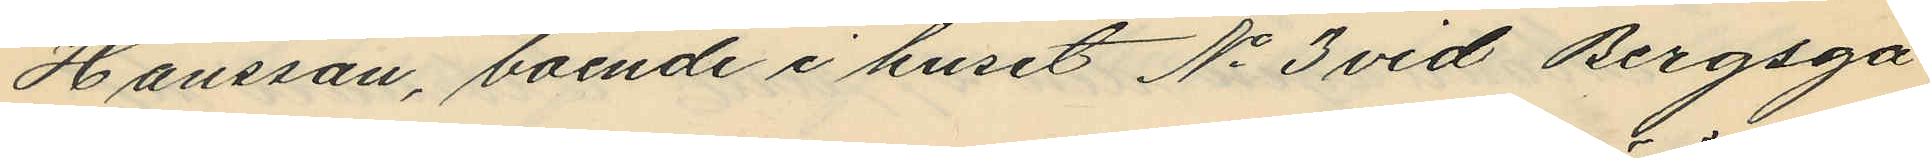Hansson, boende i huset No 3 vid Bergsga¬
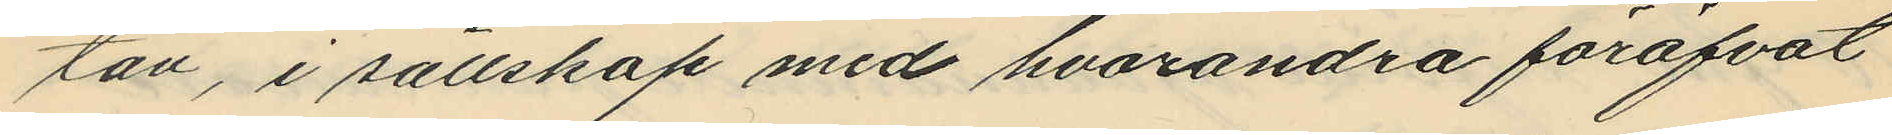tan, i sällskap med hvarandra föröfvat
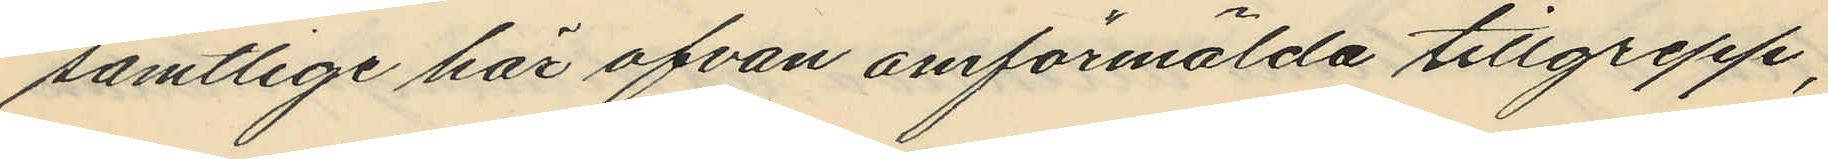samtlige här ofvan omförmälda tillgrepp;
